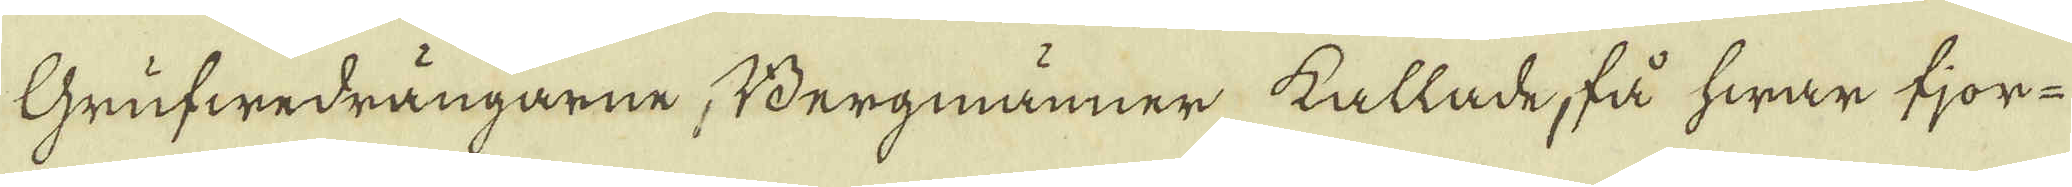Grufwedrängarne Bergmanner kallade, få hwar fjor-
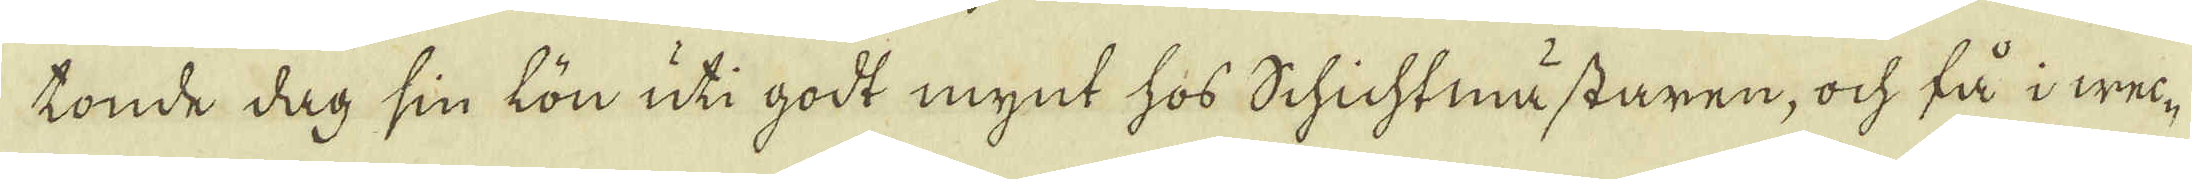tonde dag sin lön uti godt mynt hos Schichtmästaren, ock få i wec-
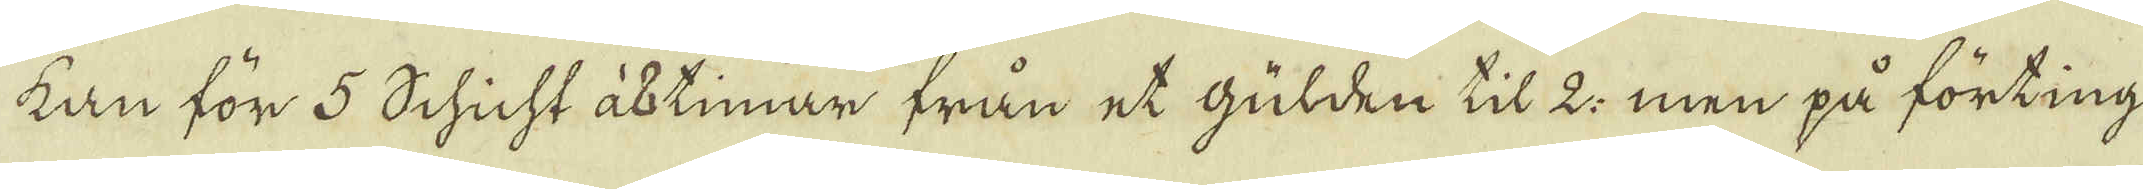kan för 5 Schicht à 8 timmar från et gülden til 2: men på förting
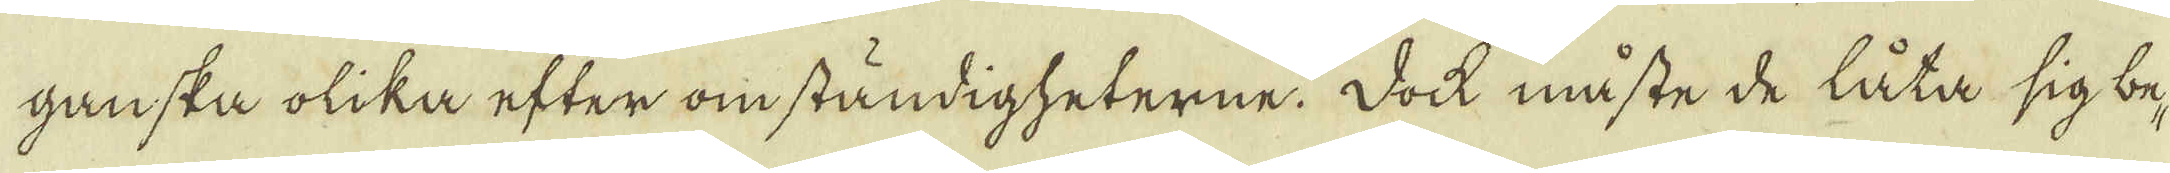ganska olika efter omständigheterne. Dock måste de låta sig be-
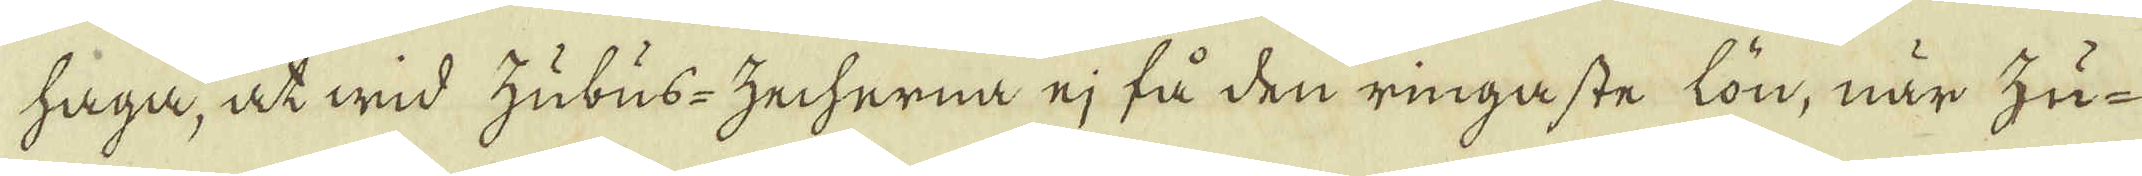haga, at wid zubus-zecherna ej få den ringaste lön, när hu-
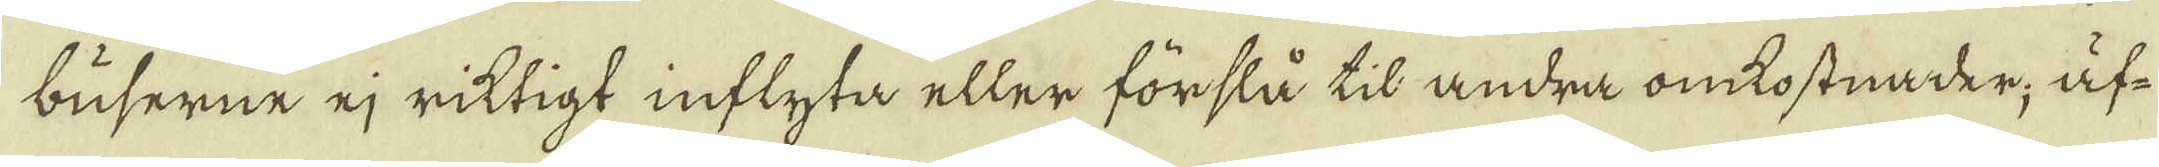buserne ej riktigt inflyta eller förslå til andra omkostnader, äf-
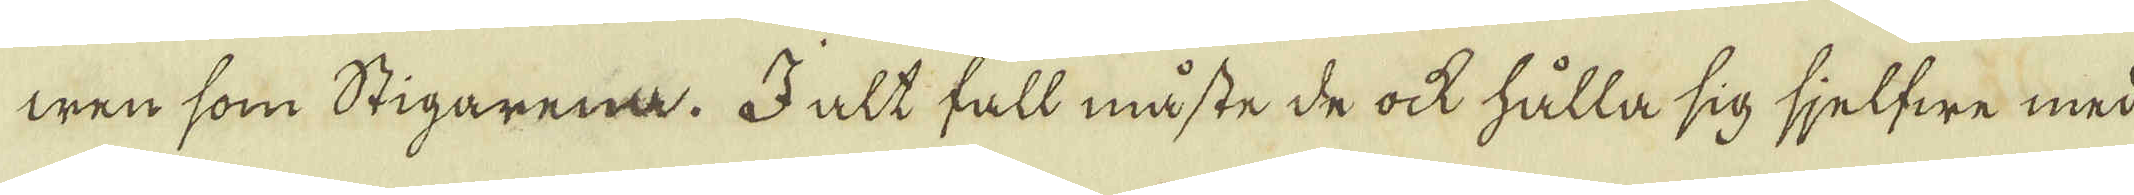wen som Stigarena. I alt fall måste de ock hålla sig sjelfwe med
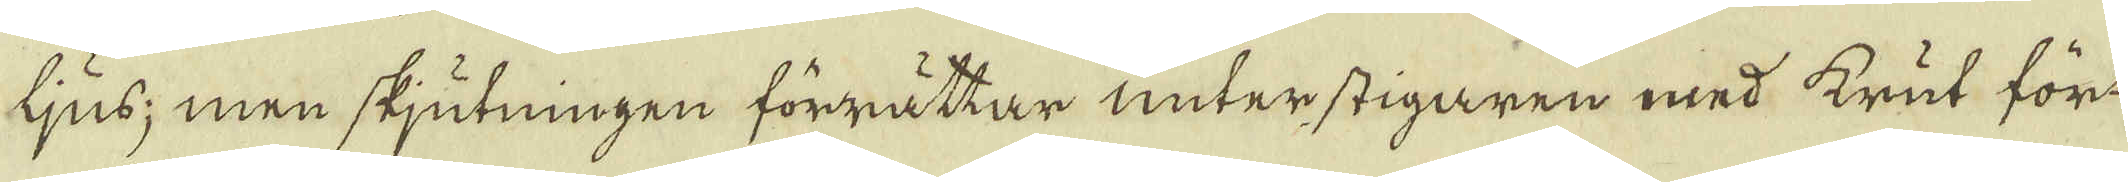ljus; men skjutningen förrättar unter stigaren med krut för
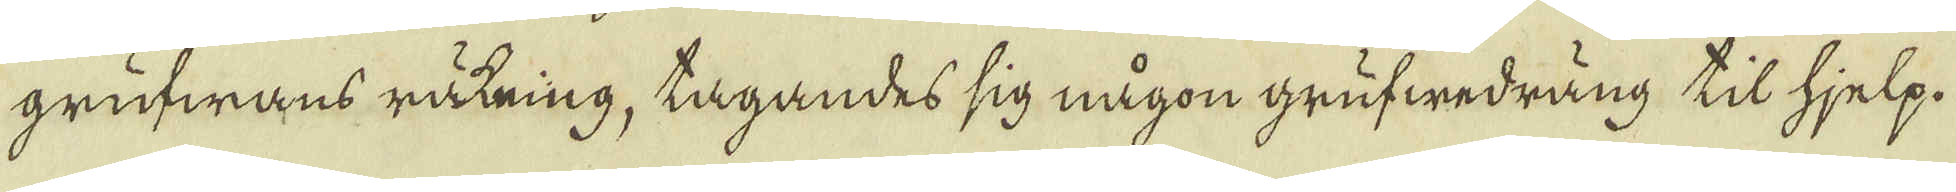grufwans räkning, tagandes sig någon grufwedräng til hjelp.
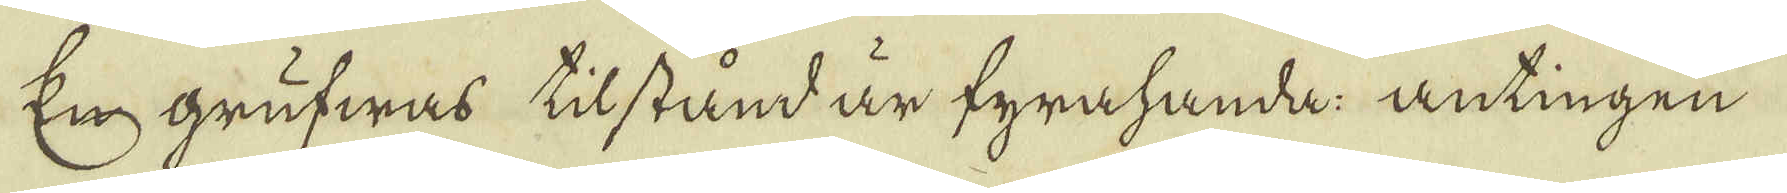En grufwas tilstånd är fyrahanda antingen
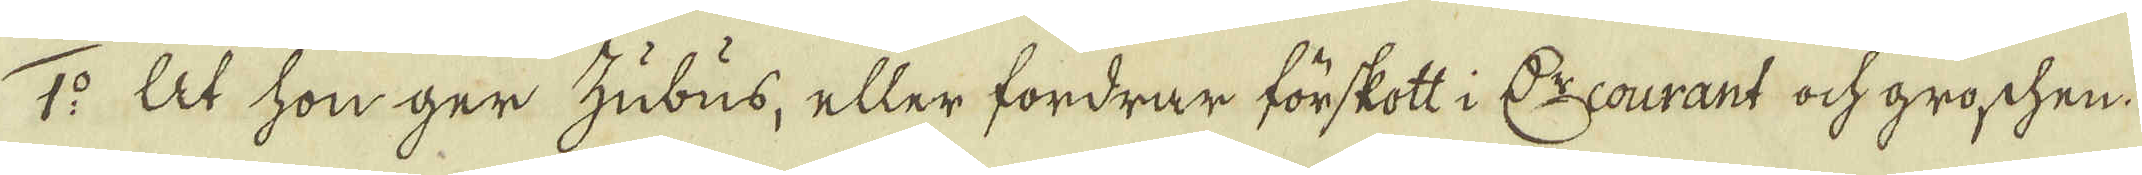1:o At hon ger hubus, eller fordrar förskott i D:r courant och groschen
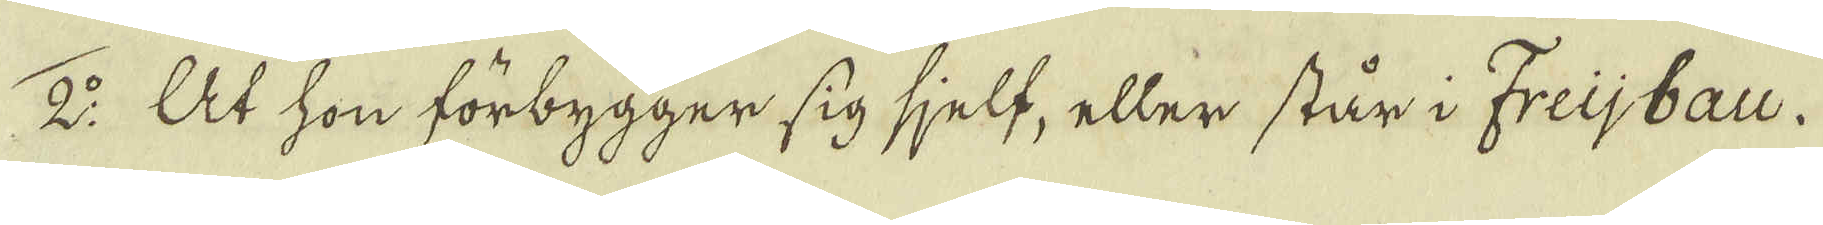2:o At hon förbygger sig sjelf, eller står i Freijbau.
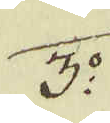3:o.
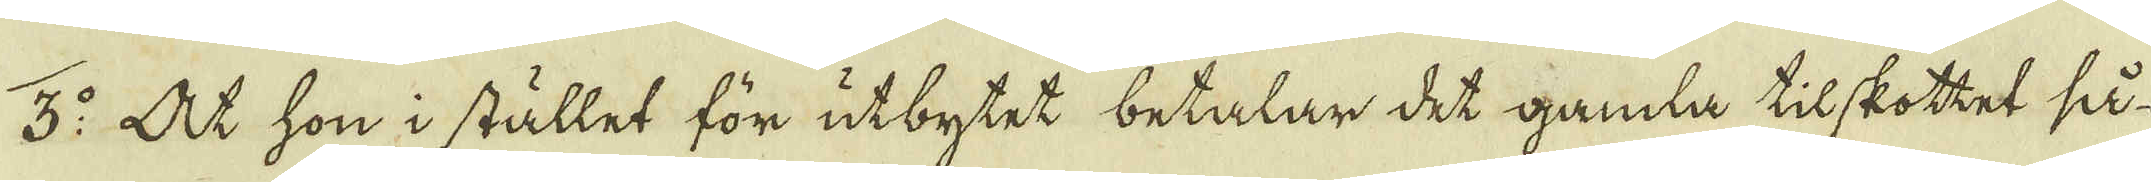3:o At hon i stället för utbytet betalar det gamla tilskottet så
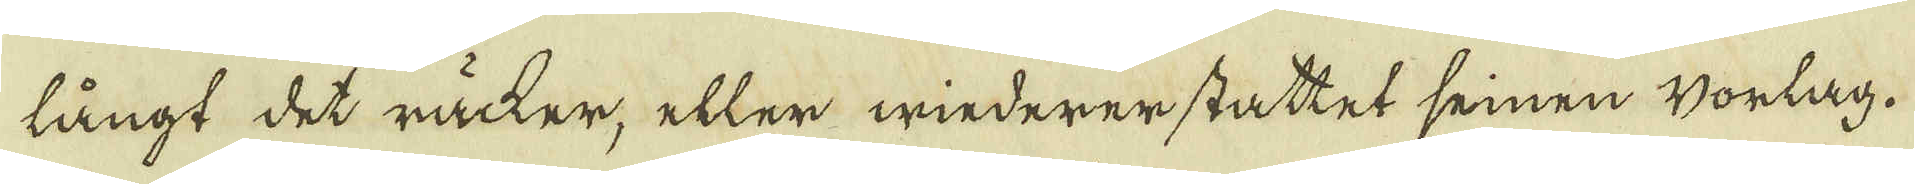långt det räcker, eller minderer stattet seinen Vorlag.
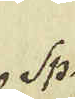Sp.
